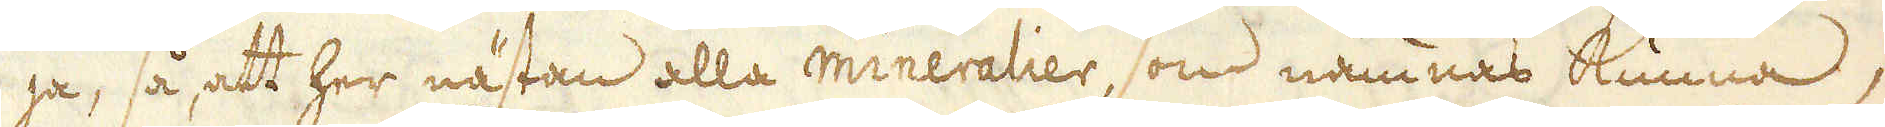ja, så att her nästan alla mineralier, som nämnas kunna,
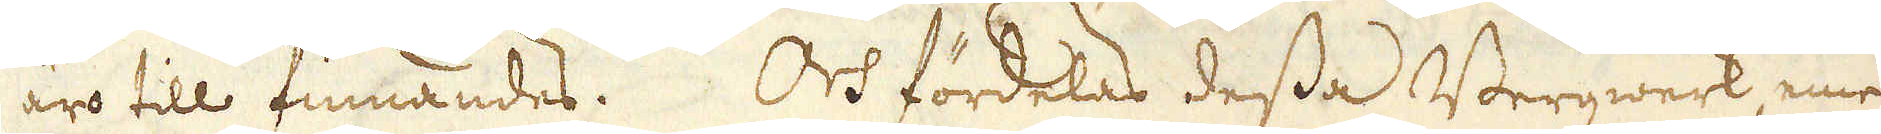äro till finnandes. Och fördelas dessa Bergwerk, eme-
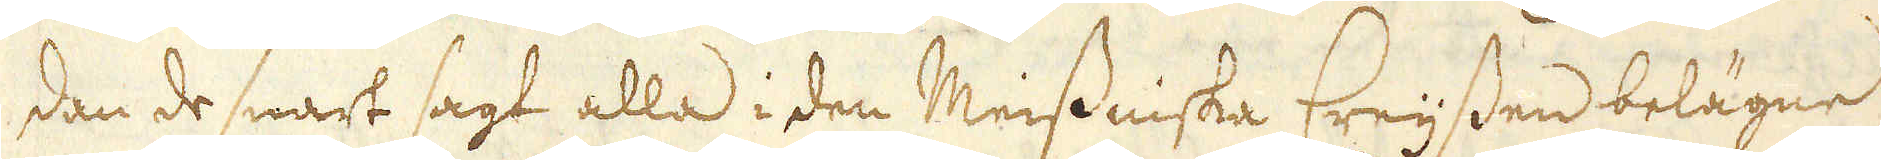dan de snart sagt alla i den Meissniska Creijssen belägne
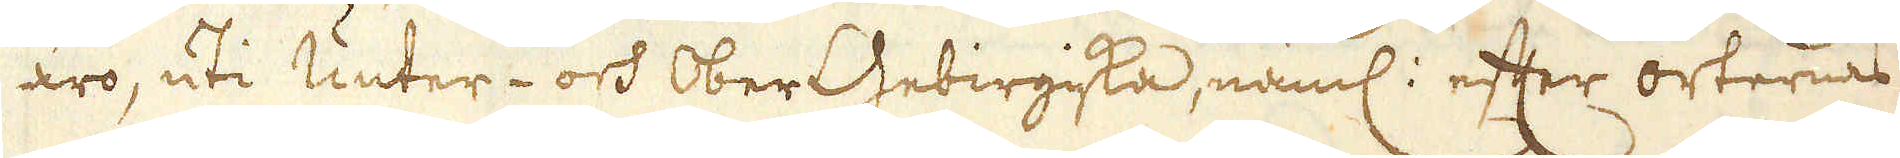äro, uti Unter- och OberGebirgiska, näml: efter orternas
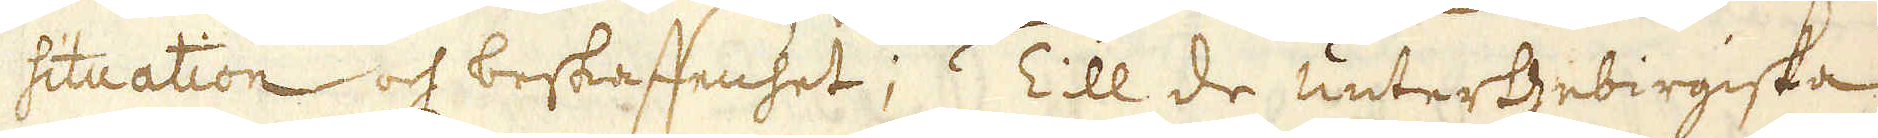situation och beskaffenhet;  Till de unterGebirgiska
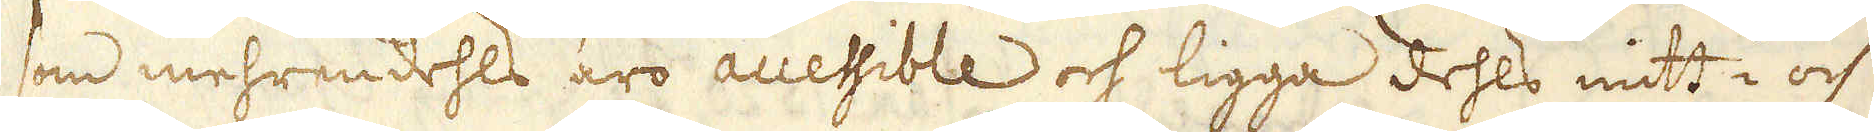som mehrendehls äro accessible och ligga dehls mitt i och
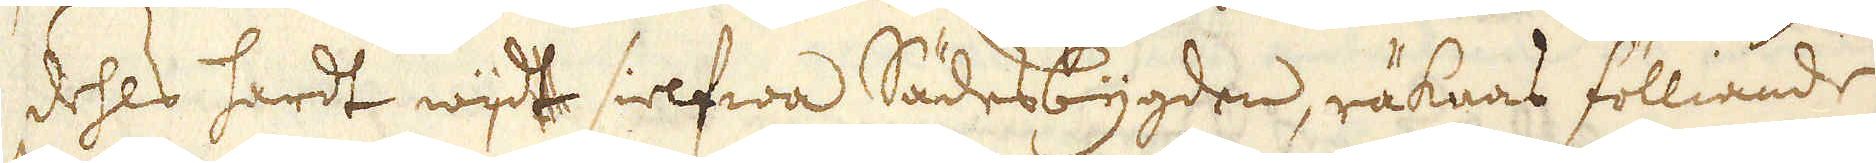dehls hardt wijdt sielfwa Sädesbygden, räknas fölliande
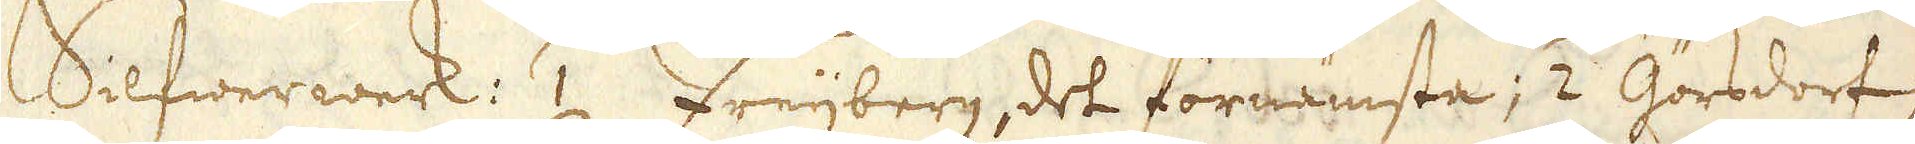Silfwerwerk: 1 Freijberg, det förnämste; 2 Görsdorf;
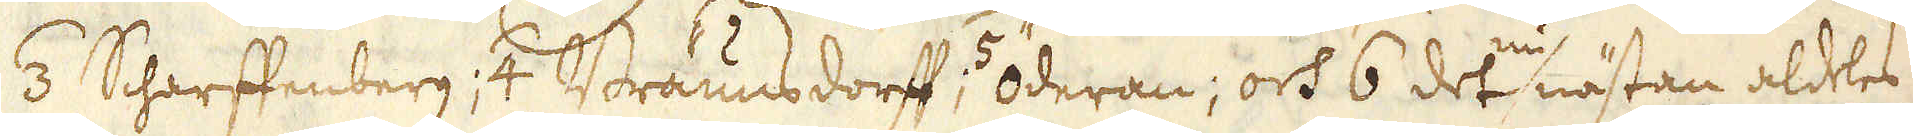3 Scharftenberg ; 4 Braunsdorff; 5 Öderan, och 6 det nu nästan aldeles
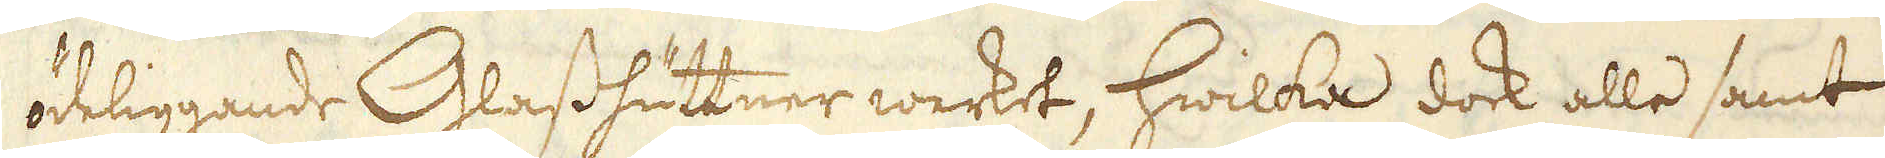ödeliggande Glasshuttner werket, hwilka dock alle samt
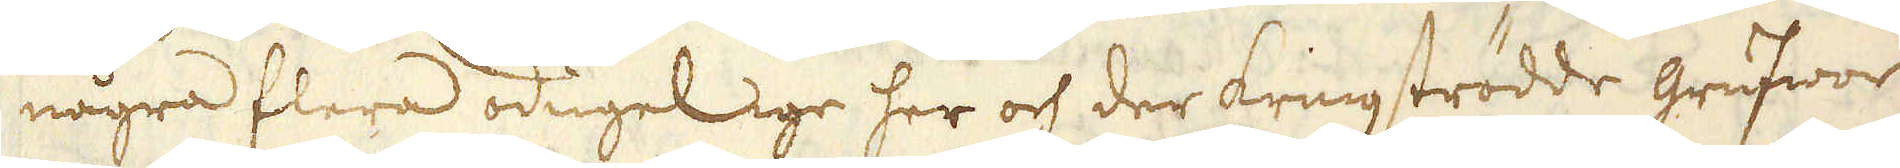några flera odugelige her och der kringströdde grufwor
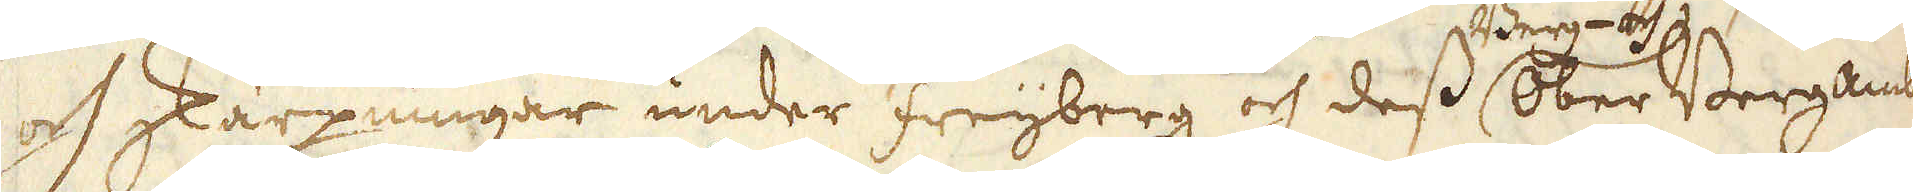och skärpningar under Freijberg och dess Berg- och Ober Bergambt
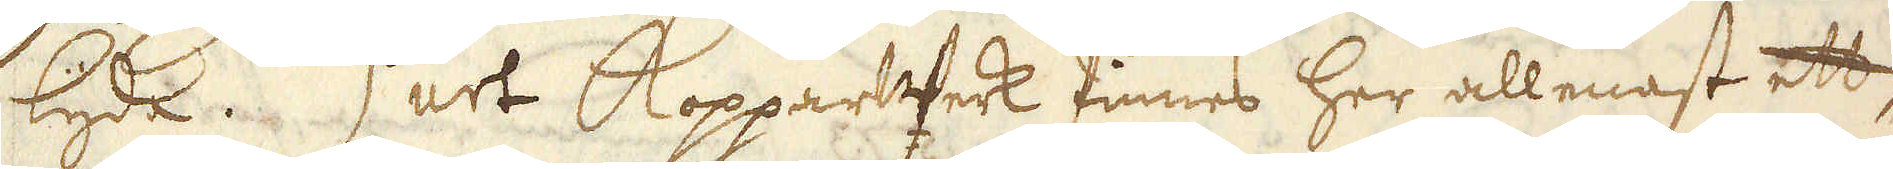lyda. 2o ett Kopparwerk finnes her allenast ett
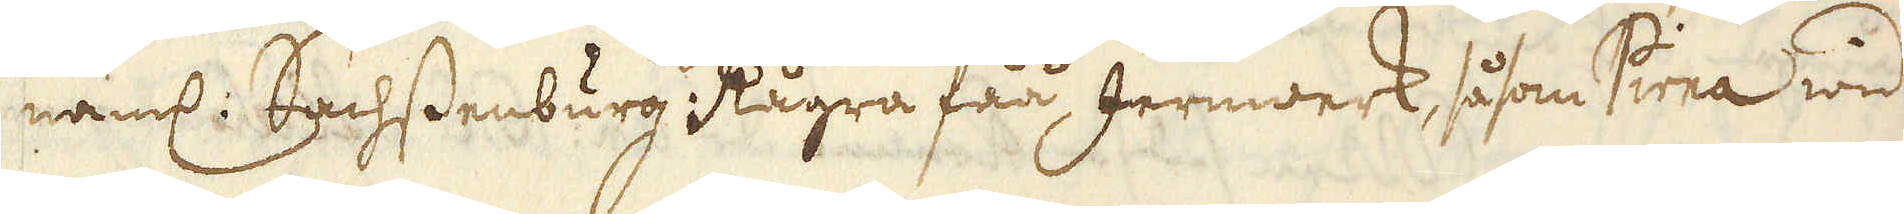näml: Sachsenburg: Några fåå Jernwerk, såsom Pirna wid
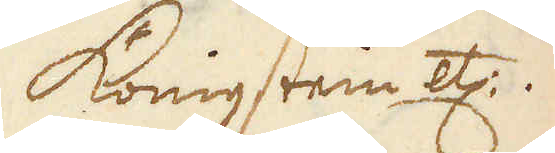Königsten etc.
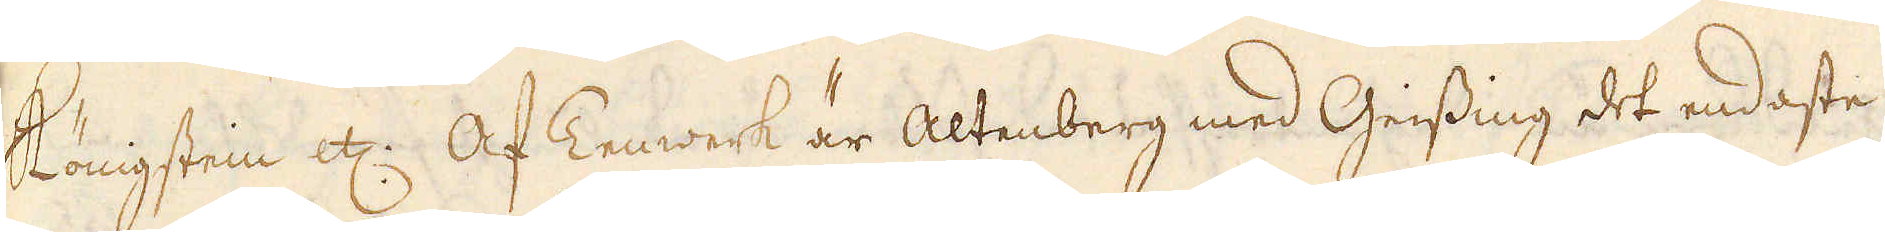köngstein etc: Af Tenwerk är Altenberg med Gissing det endaste
